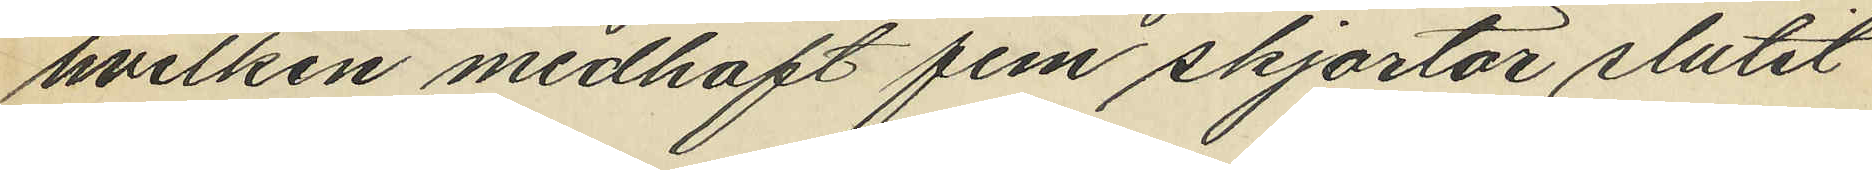hvilken medhaft fem skjortor slutit
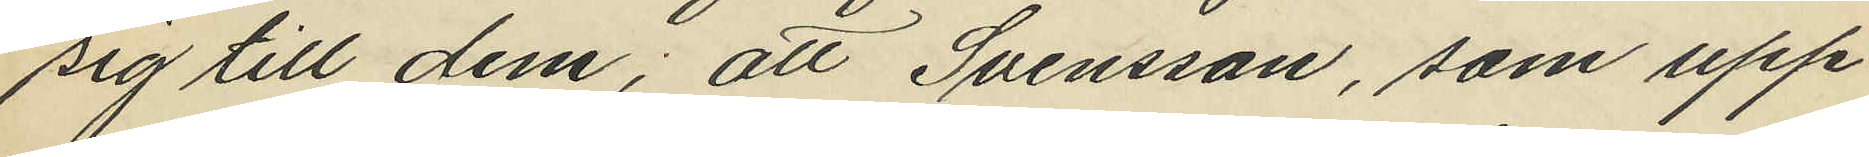sig till dem; att Svensson, som upp¬
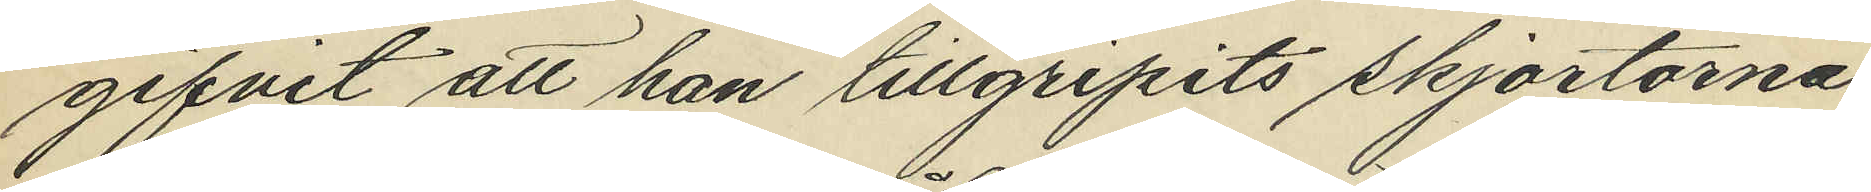gifvit att han tillgripits skjortorna
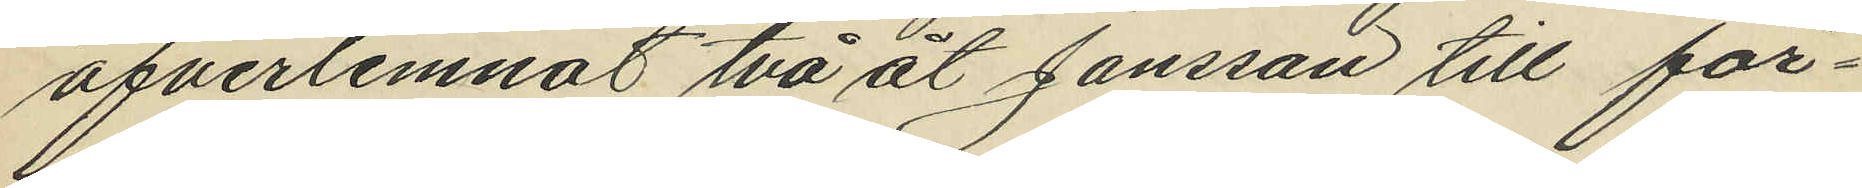öfverlemnat två åt Jansson till för¬
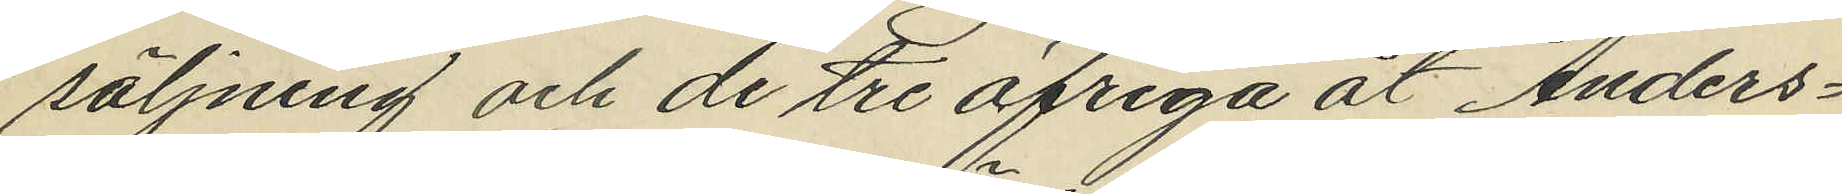säljning och de tre öfriga åt Anders¬
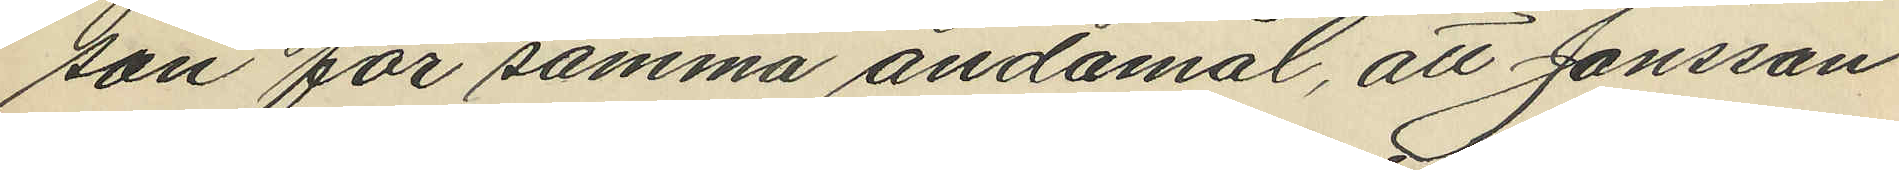son för samma ändamål, att Jansson
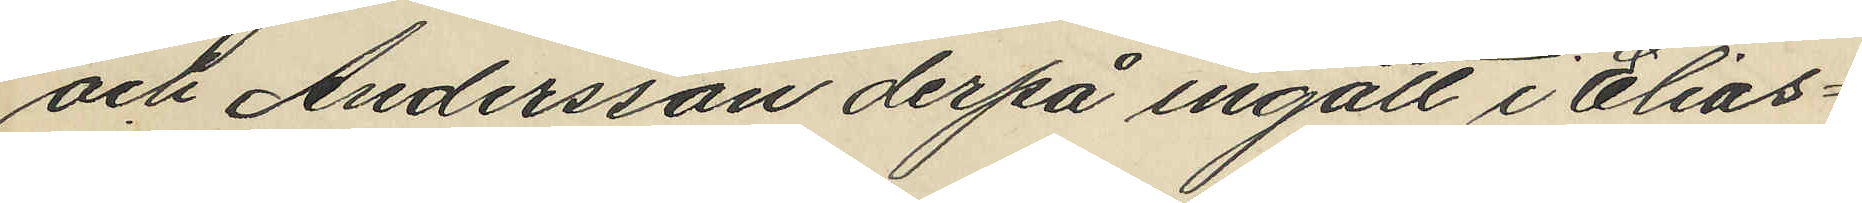och Andersson derpå ingått i Elias¬
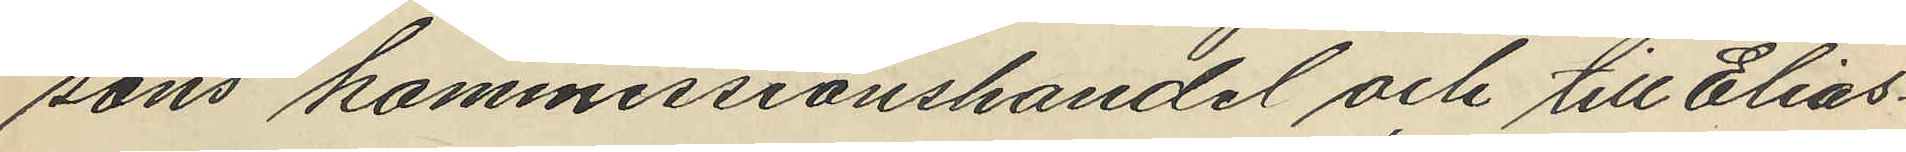sons kommissionshandel och till Elias¬
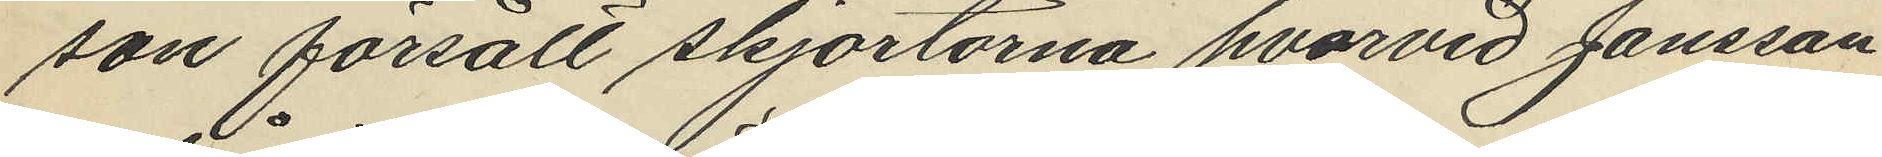son försålt skjortorna hvarvid Jansson
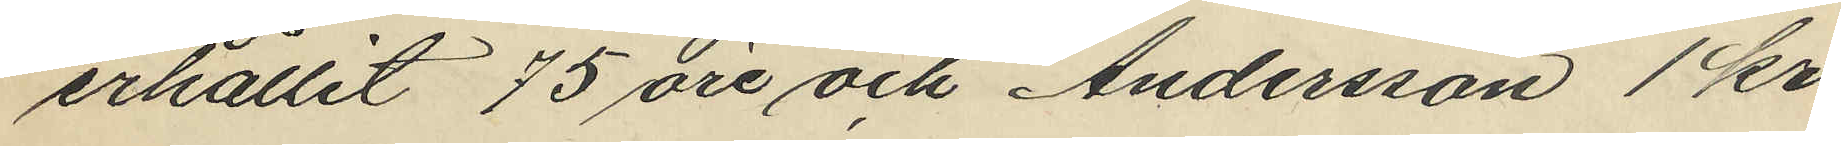erhållit 75 öre och Andersson 1 kr.
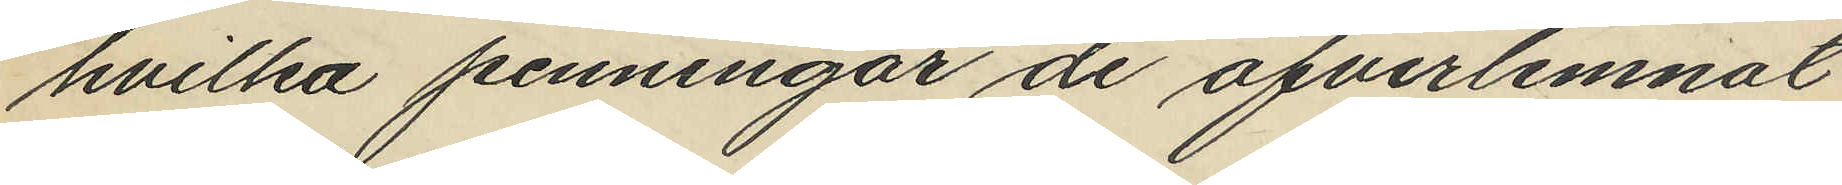hvilka penningar de öfverlemnat
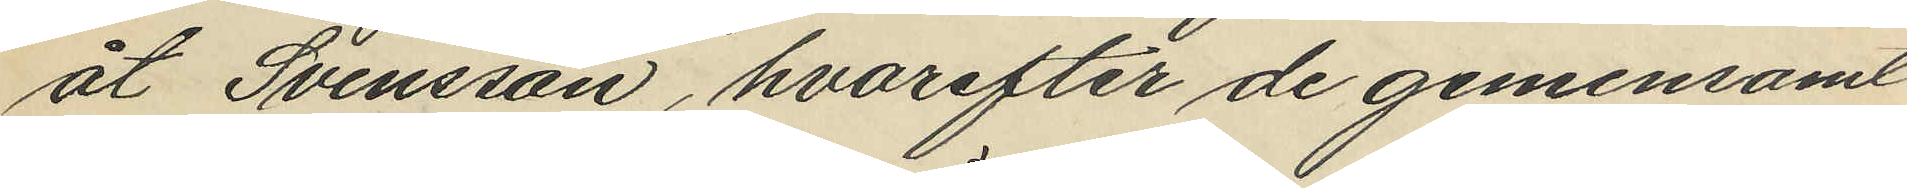åt Svensson, hvarefter de gemensamt
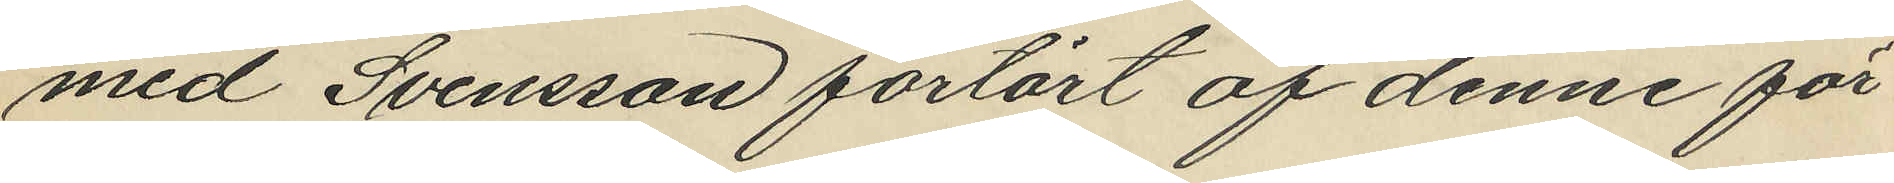med Svensson förtärt af denne för
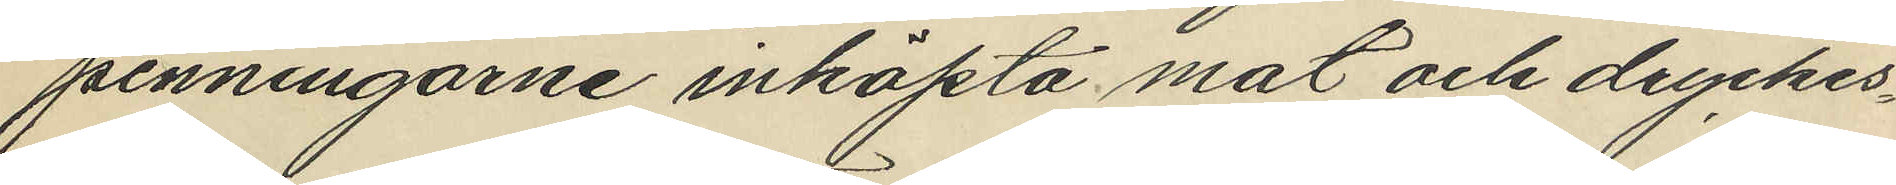penningarne inköpta mat och dryckes¬
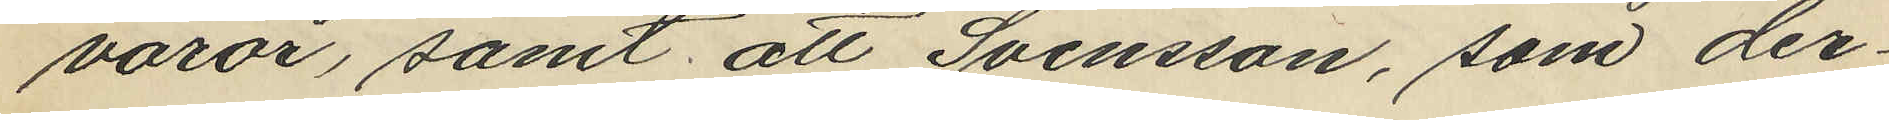varor, samt att Svensson, som der¬
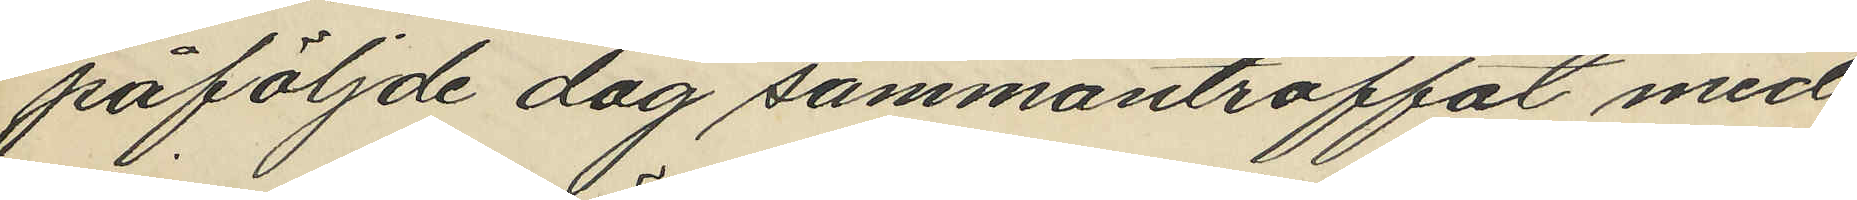påföljde dag sammanträffat med
